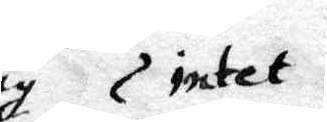sig intet
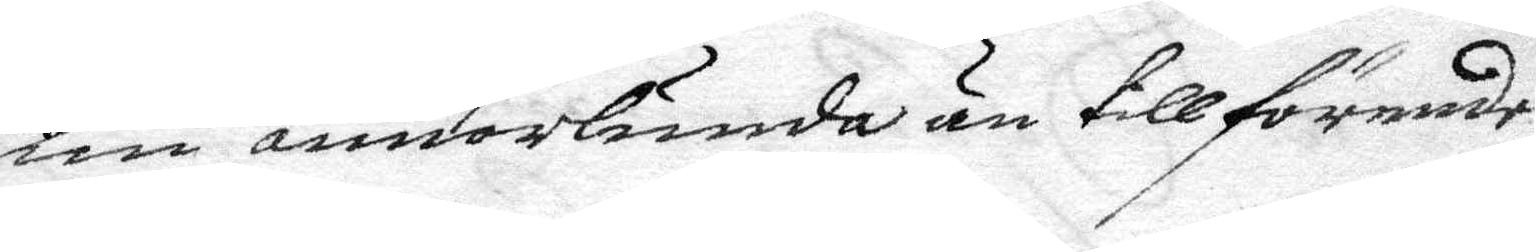nu annorlunda än tillförende,
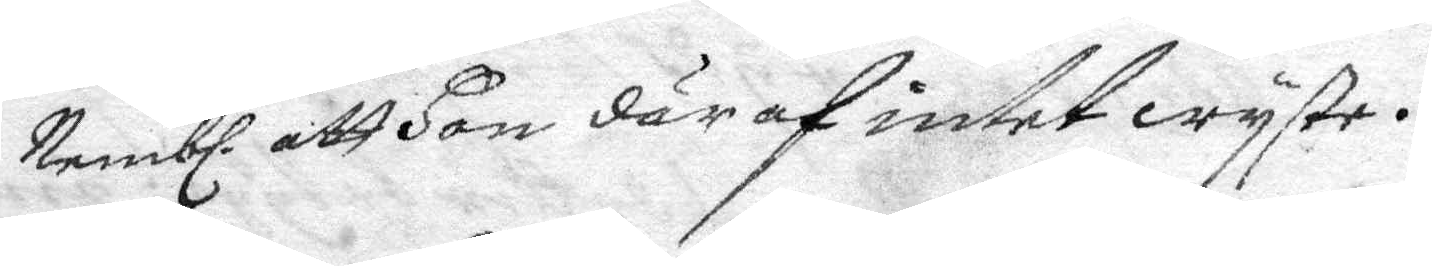Nembl. att hon där af intet wyste.
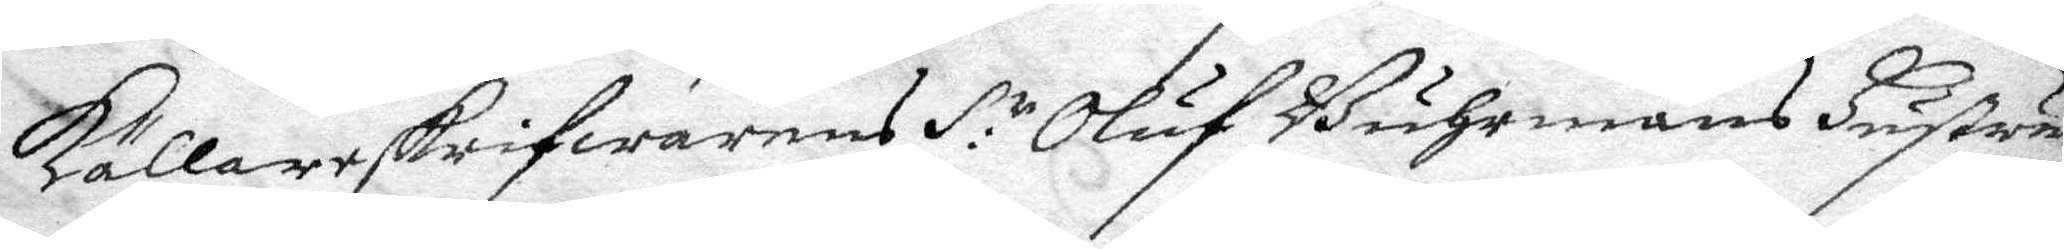Källarskrifwarens S:r Olof Buhrmans hustru
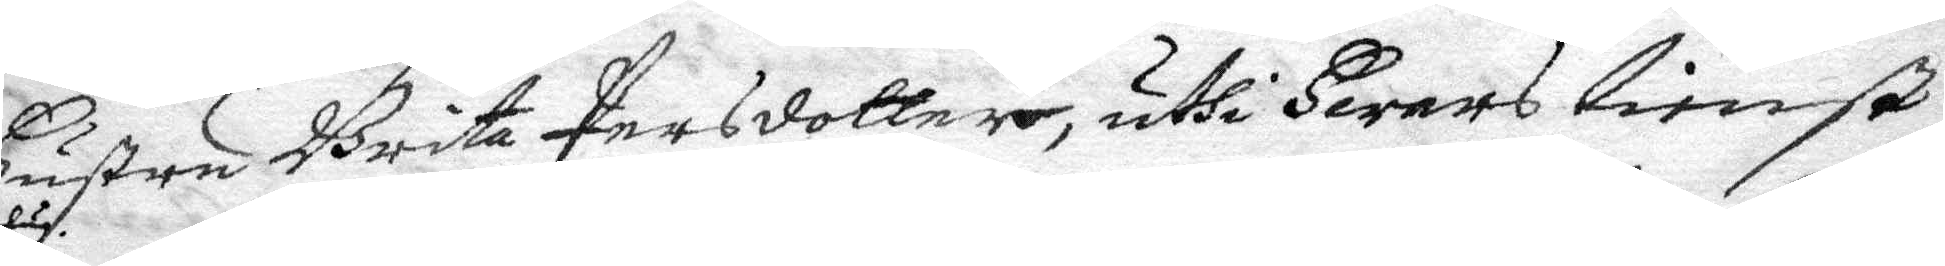hustru Brita Persdotter, uthi hwars tienst
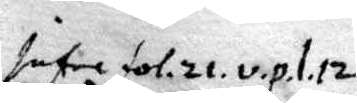infor fol. 21. v.p.l.12.
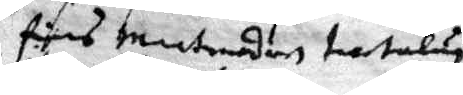föres matmodern trotelug.
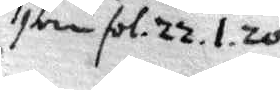ibm fol. 22.1.20
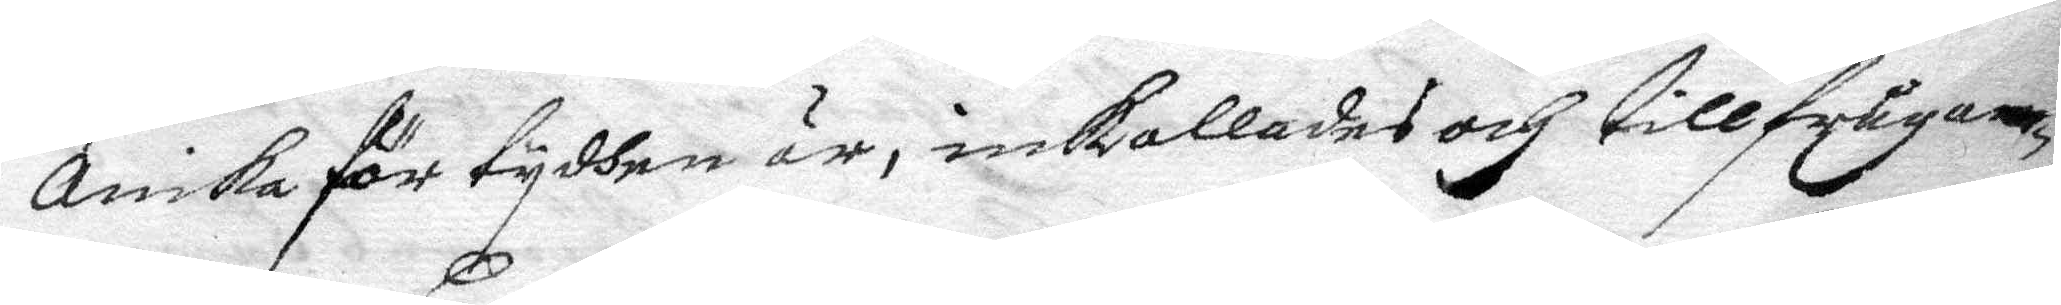Anika för tydhen är, inkallades och tillfrågan¬
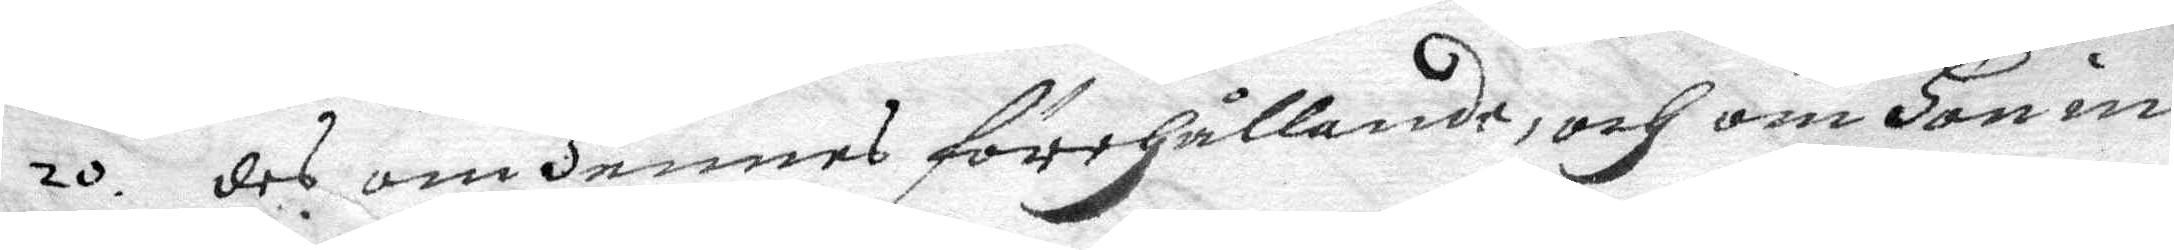20. des om hennes förhållande, och om hon in¬
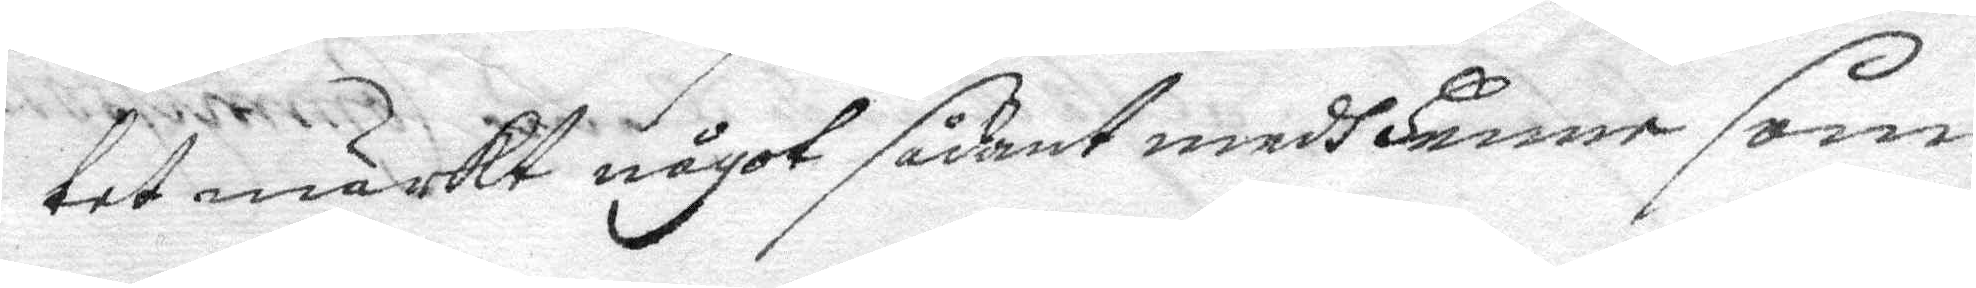tet märkt något sådant medh henne som
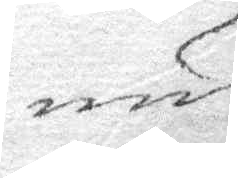nu
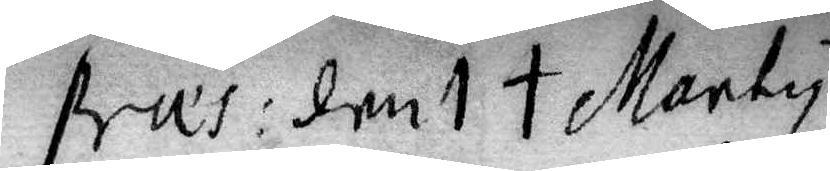pres: den 1 t Marty
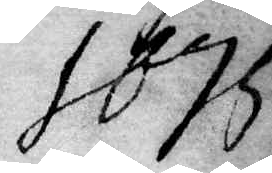1675
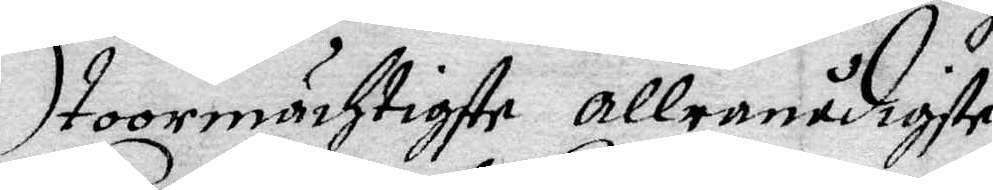Stoormächtigste allernådigste
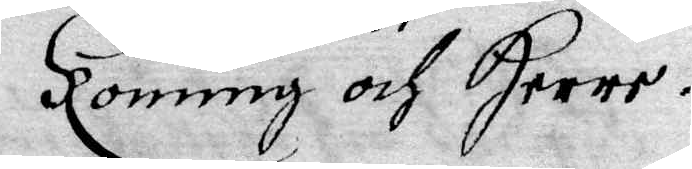Konung och Herre.
